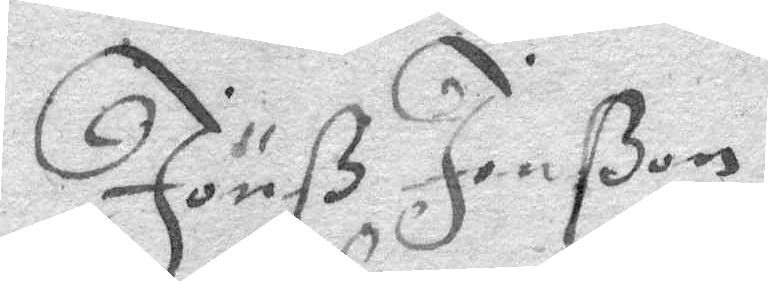Jönß Jonßon
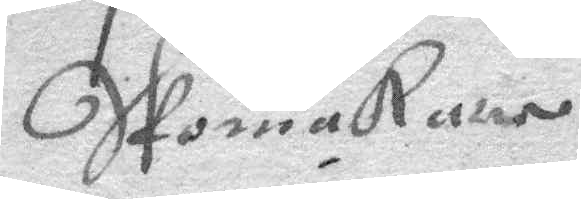Skomakare
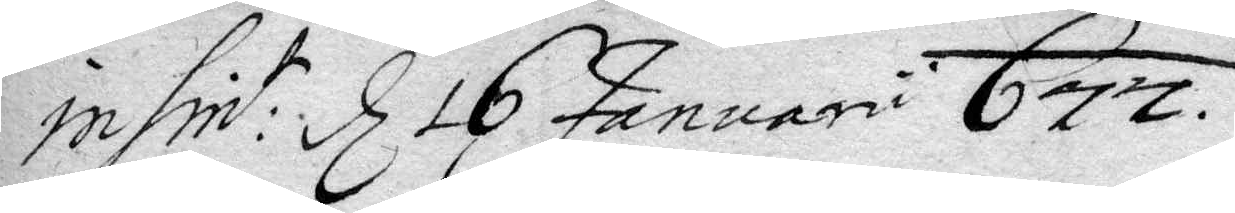insint: d 16 Januari 677.
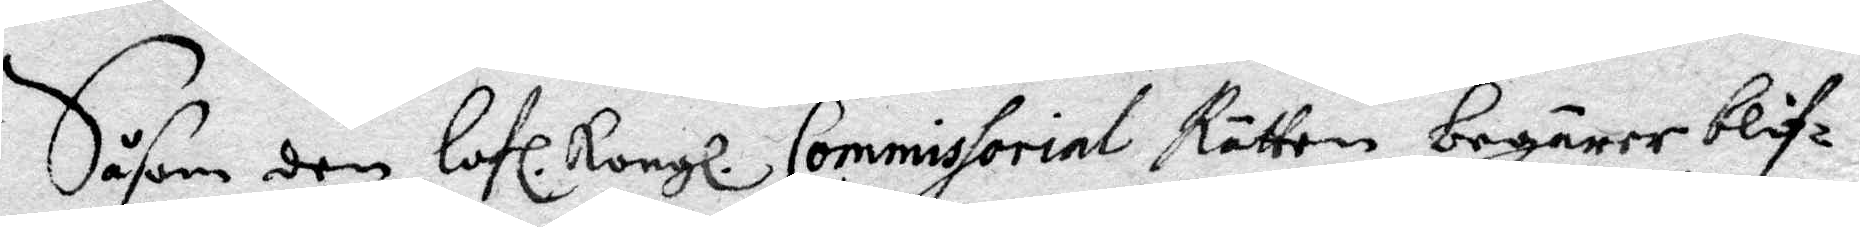Såsom den lofl. Kongl. Commissorial Rätten begärer blif¬
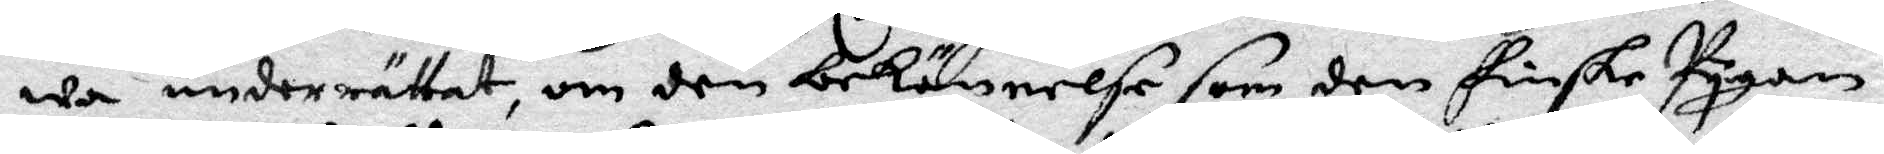wa underrättat, om den bekännelse som den finske Pygan
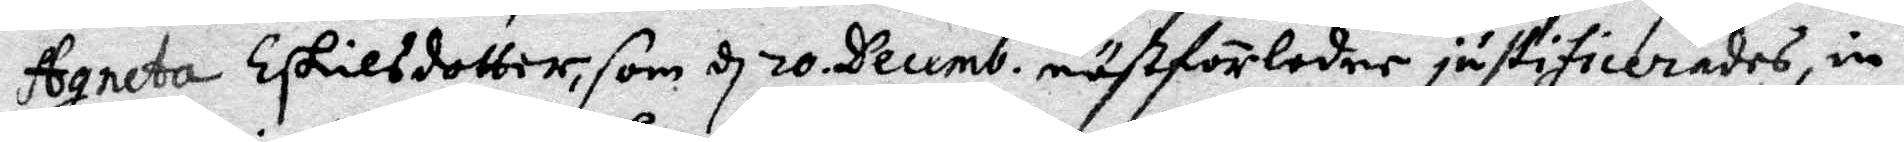Agnera Eskilsdotter, som d 20 Decemb. nästförledne justificerades, in¬
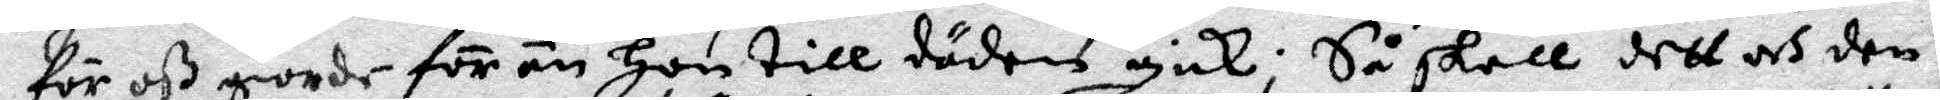för oß giorde förän hon till döden gick; Så skall dett och den
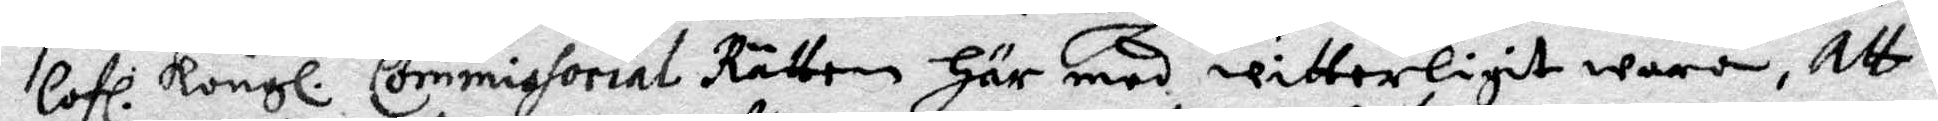lofl. Kongl. Commissorial Rätten här med witterligit wara, att
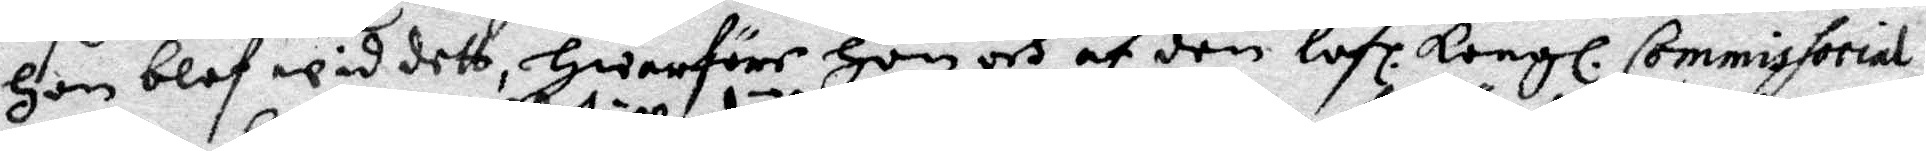hon blef wid dett, hwarföre hon och af den lofl. Kongl. Commissorial
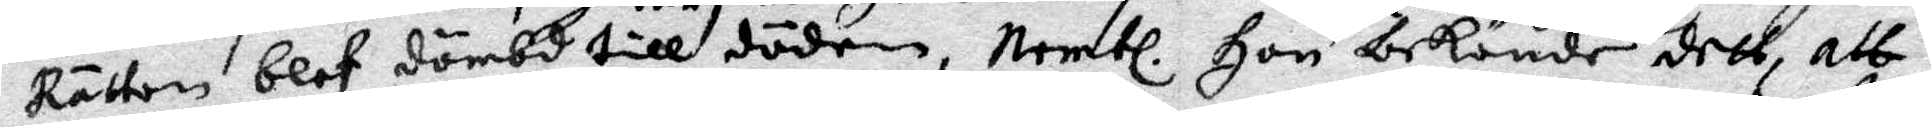Rätten blef dömbd till döden, Nembl. hon bekände dett, att
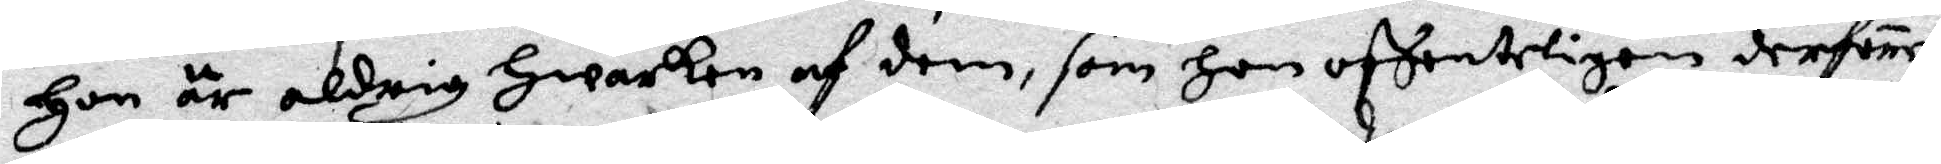hon är aldrig hwarken af dem, som hon offenteligen derföre
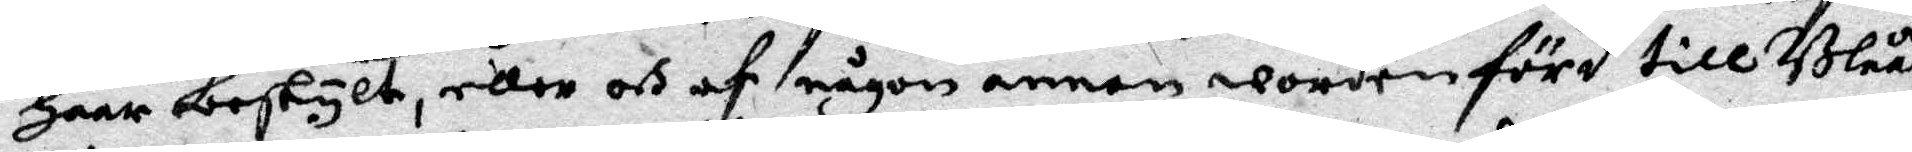haar beskylt, eööer och af någon annan worden förd till Blåå¬
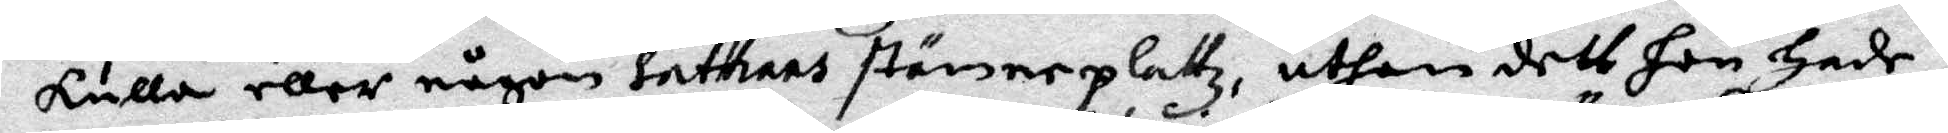kulla eller någon sathans stämmeplattz, uthan dett hon hade
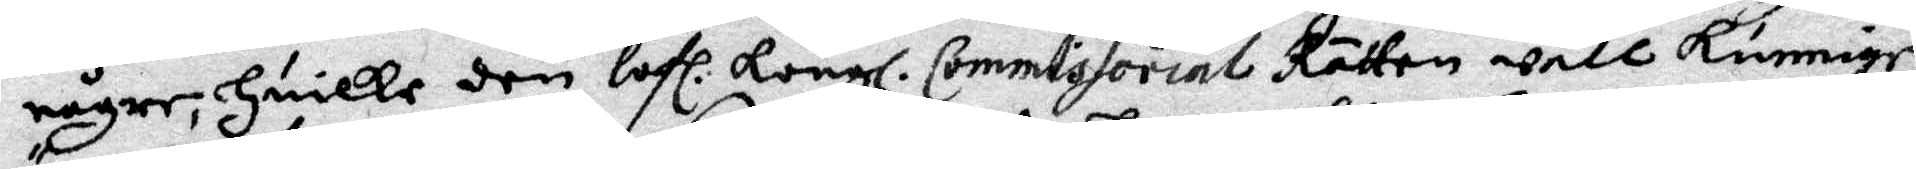någre, huilke den lofl. Kongl. Commissorial Rätten wäll kunnige
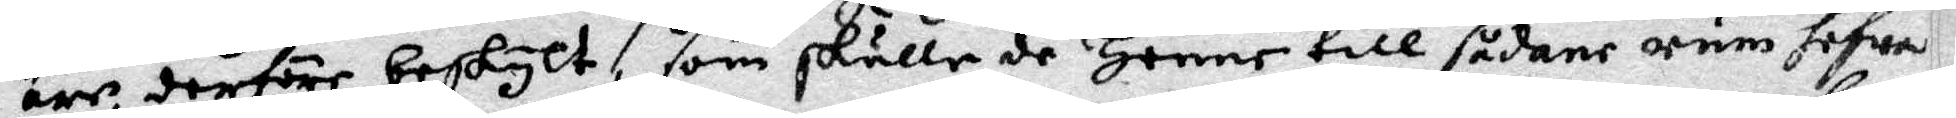äre, derföre beskylt,, som skulle de henne till sådane rum hafwa
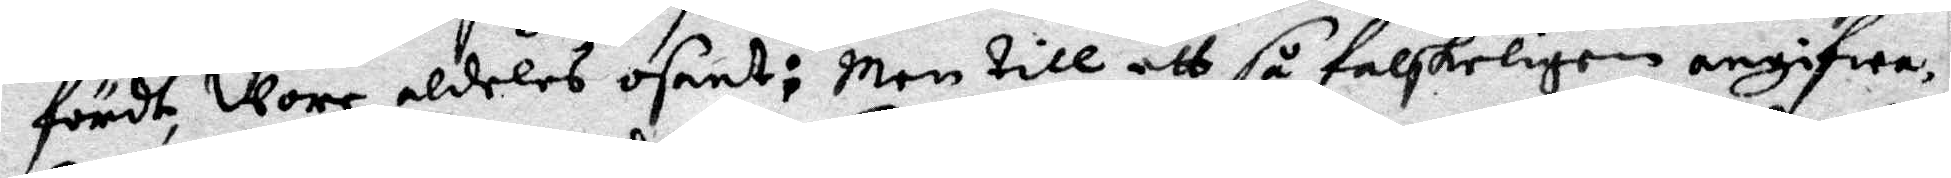fördt, wore aldeles osant: Men till ett så falskeligen angifwa,
